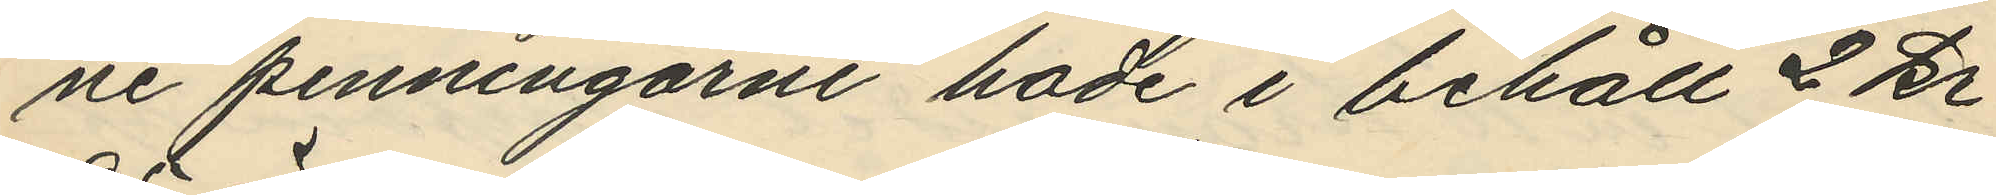ne penningarne hade i behåll 2 kr.
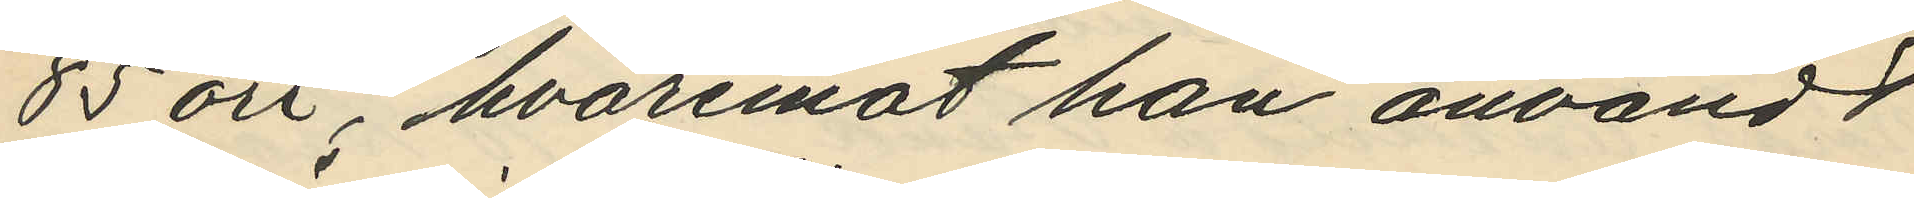85 öre, hvaremot han användt
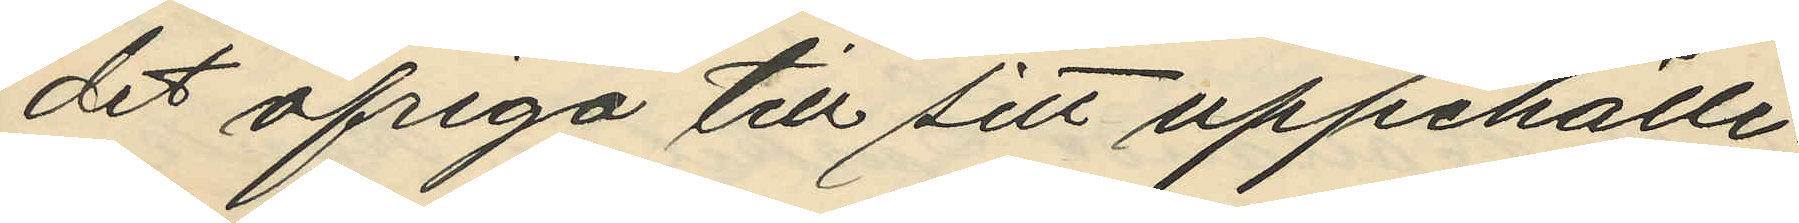det öfriga till sitt uppehälle;
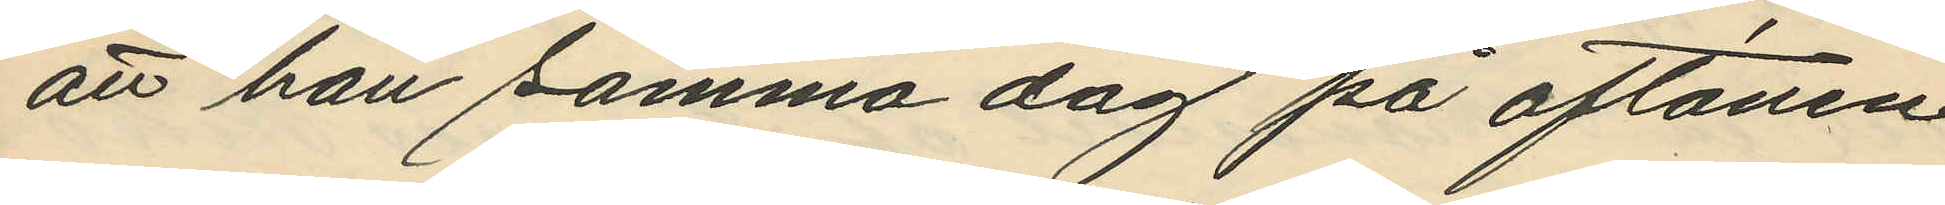att han samma dag på aftonen
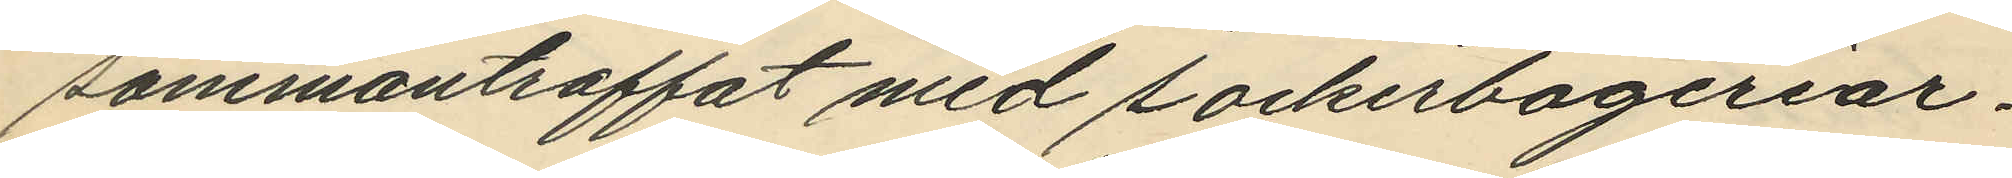sammantraffat med sockerbageriar¬
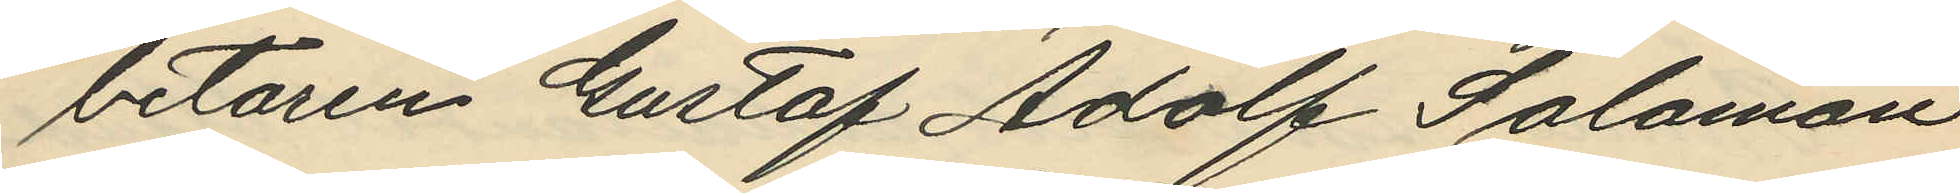betaren Gustaf Adolf Salomon
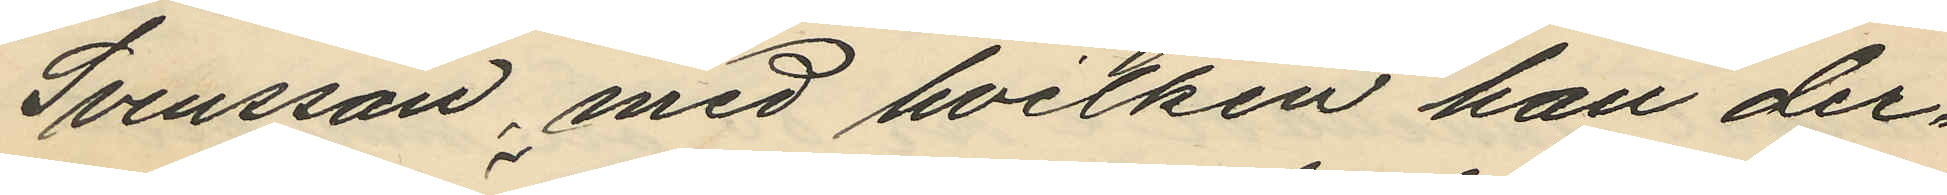Svensson, med hvilken han der¬
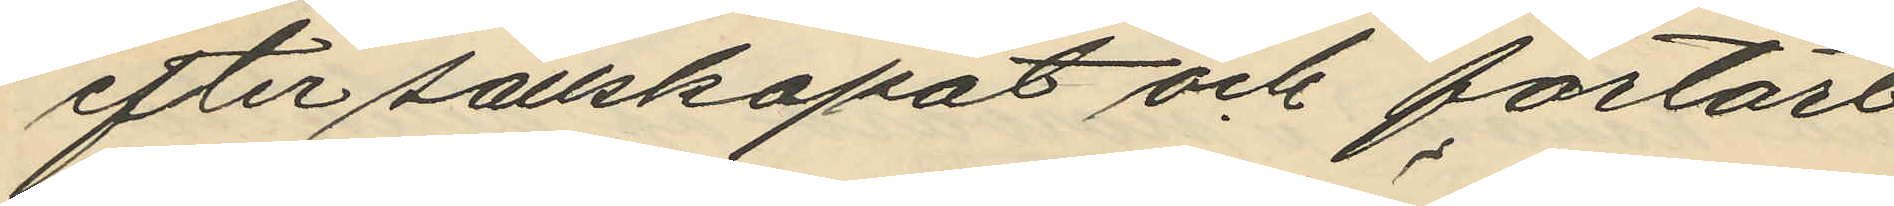efter sällskapat och förtärt
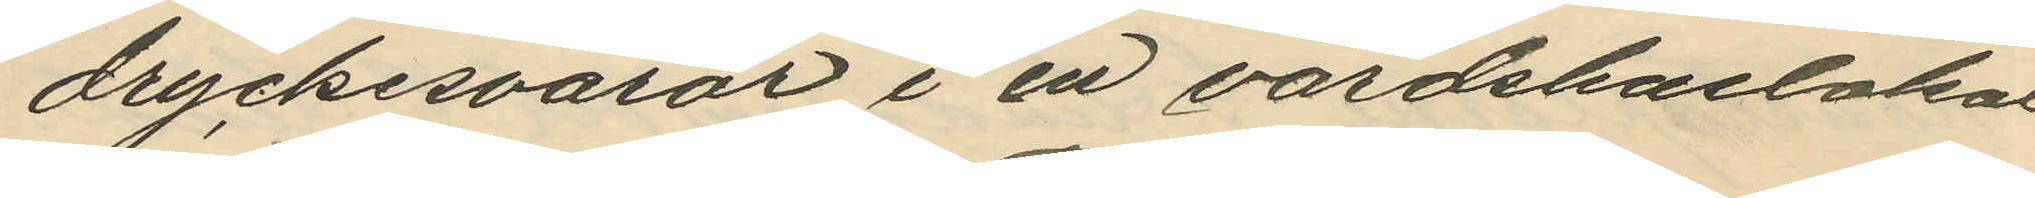dryckesvaror i en värdshuslokal
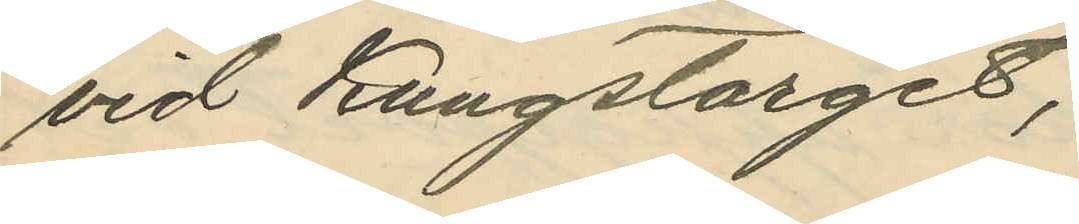vid Kungstorget;
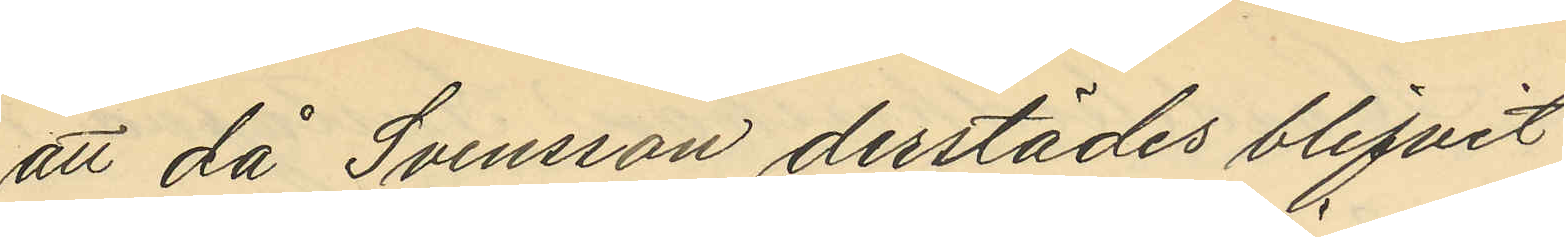att då Svensson derstädes blifvit
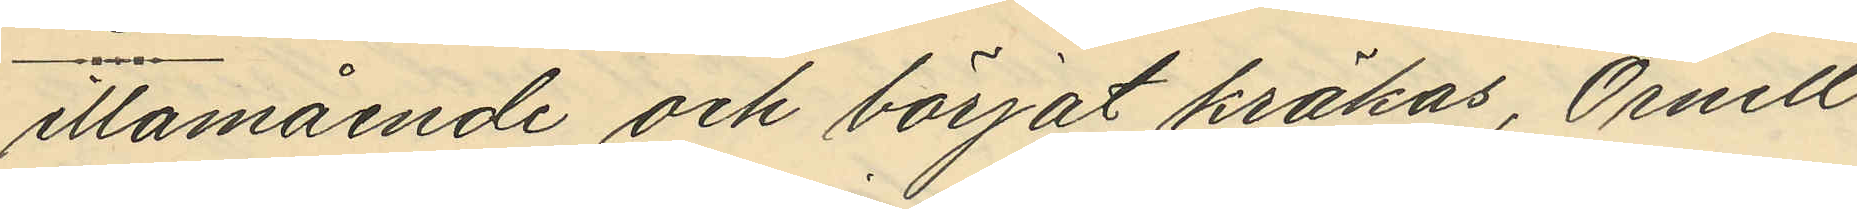illamående och börjat kräkas, Örnell
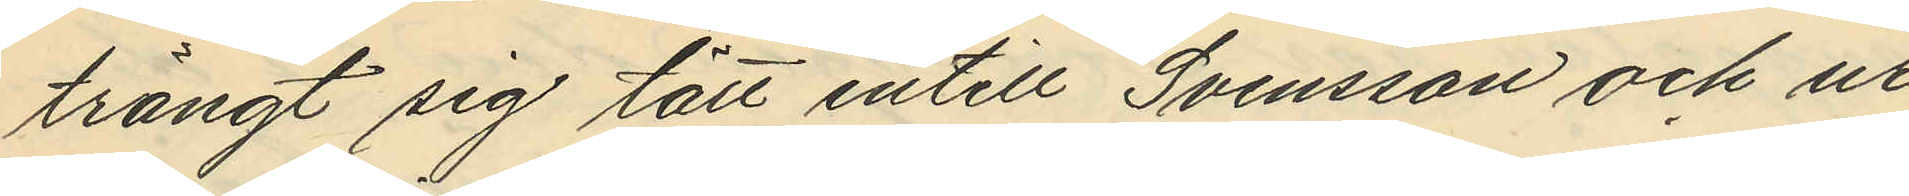trängt sig tätt intill Svensson och ur
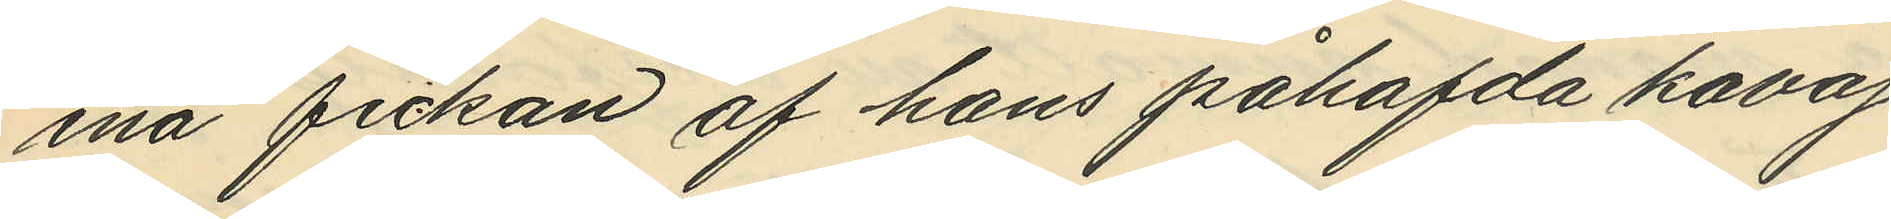ena fickan af hans påhafda kavaj
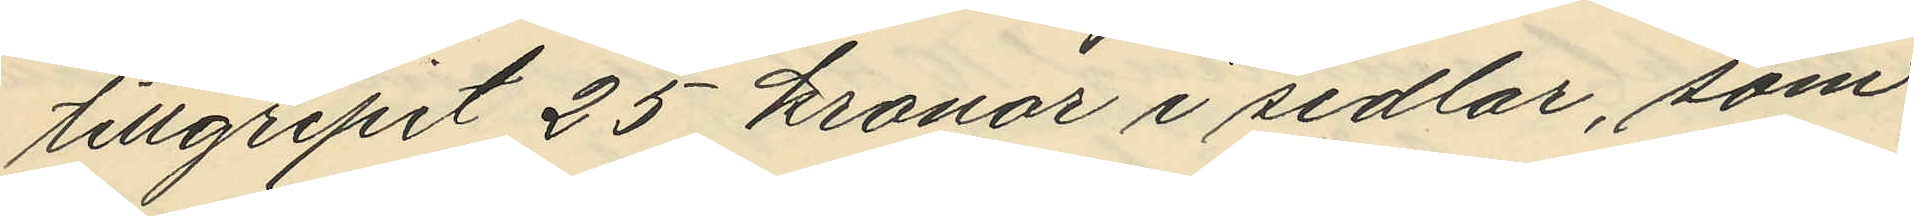tillgripit 25 kronor i sedlar, som
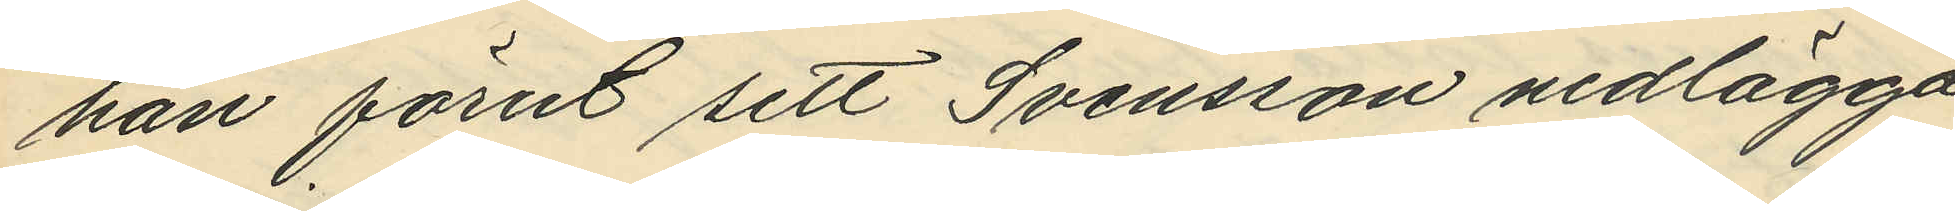han förut sett Svensson nedlägga
